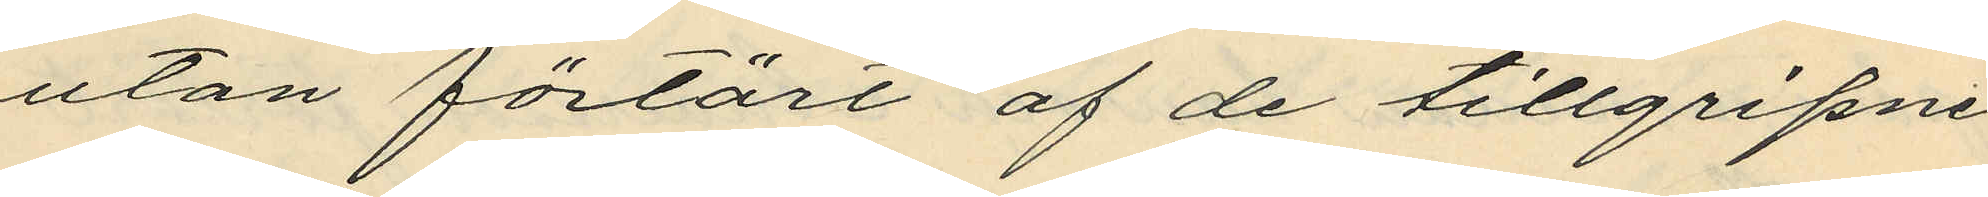utan förtärt af de tillgripne
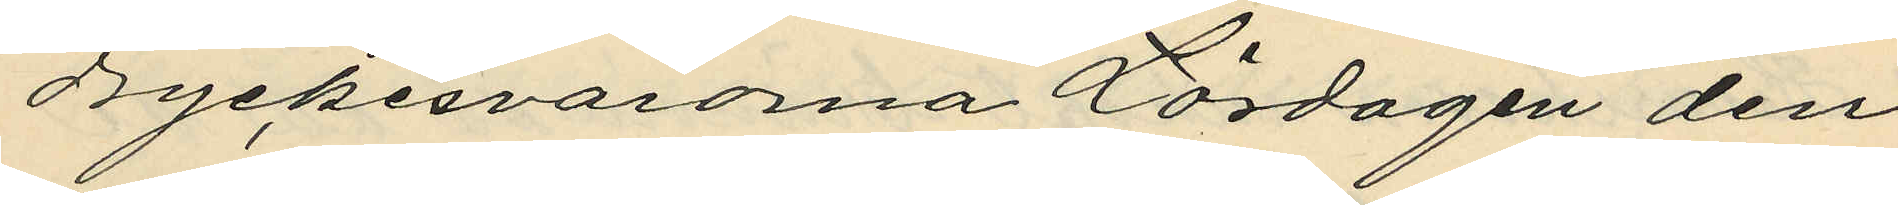dryckesvarorna Lördagen den
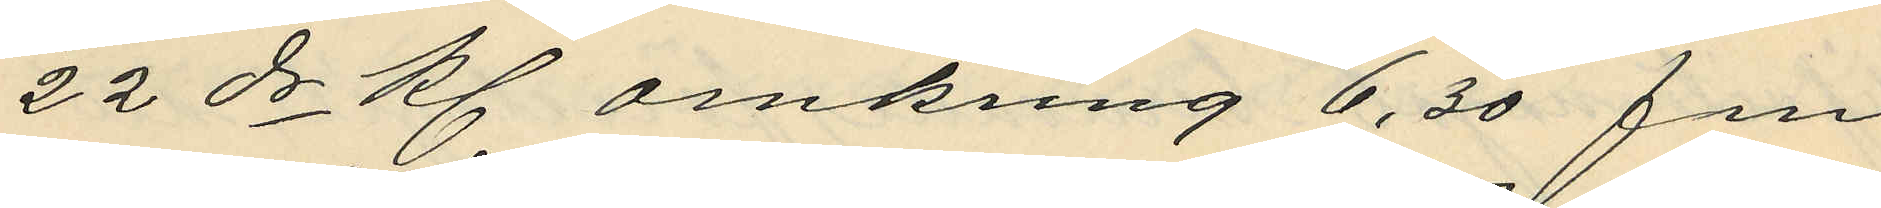22 ds Kl omkring 6,30 fm
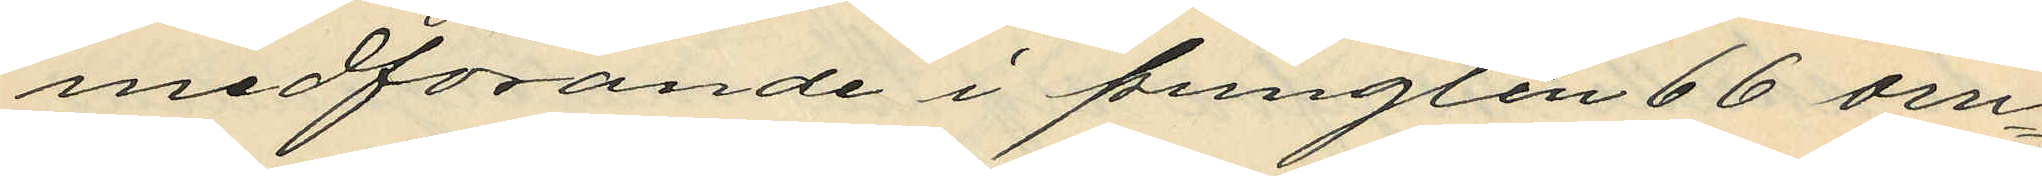medförande i pungten 66 om¬
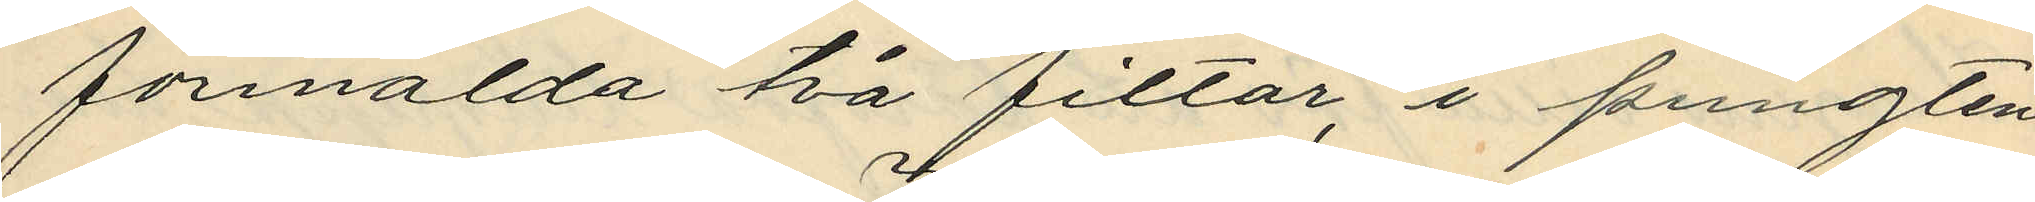förmälda två filtar, i pungten
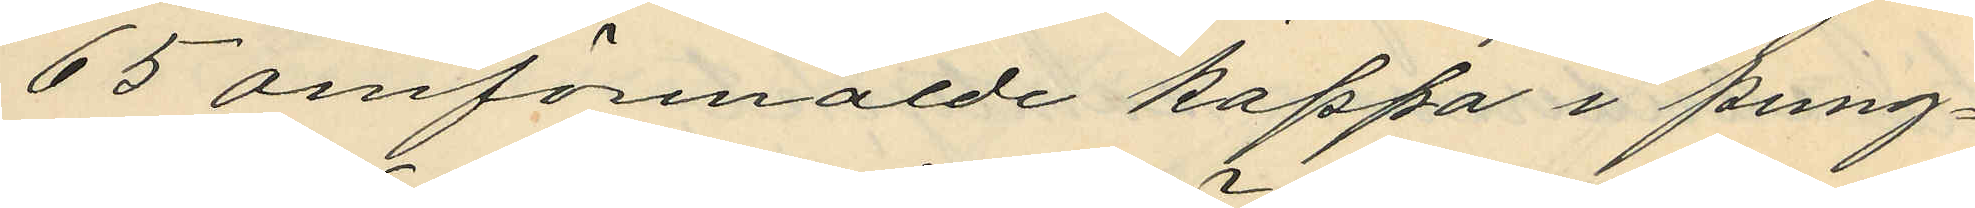65 omförmälde kappa i pung¬
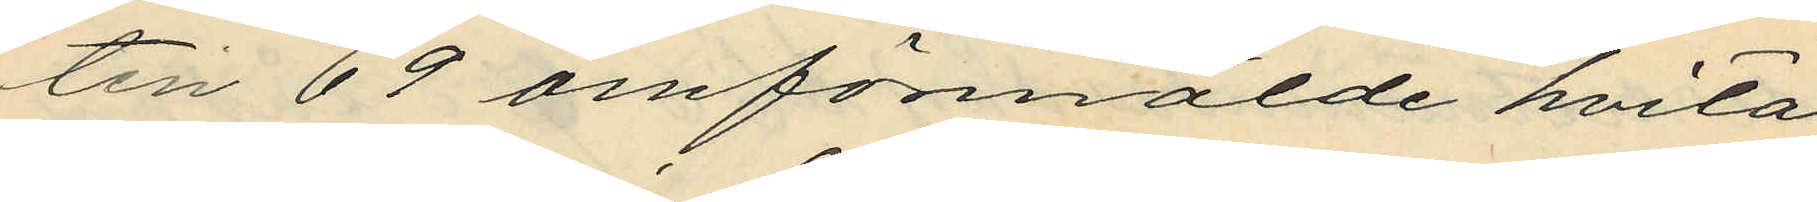ten 69 omförmälde hvita
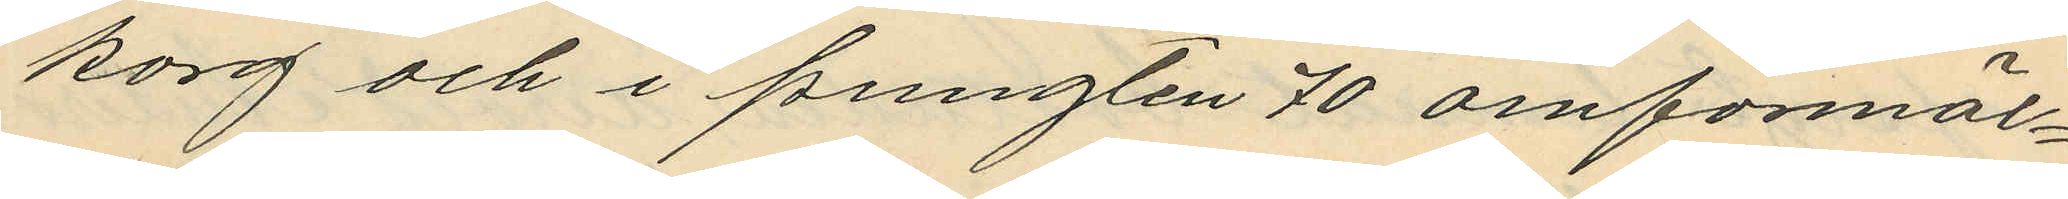korg och i pungten 70 omförmäl¬
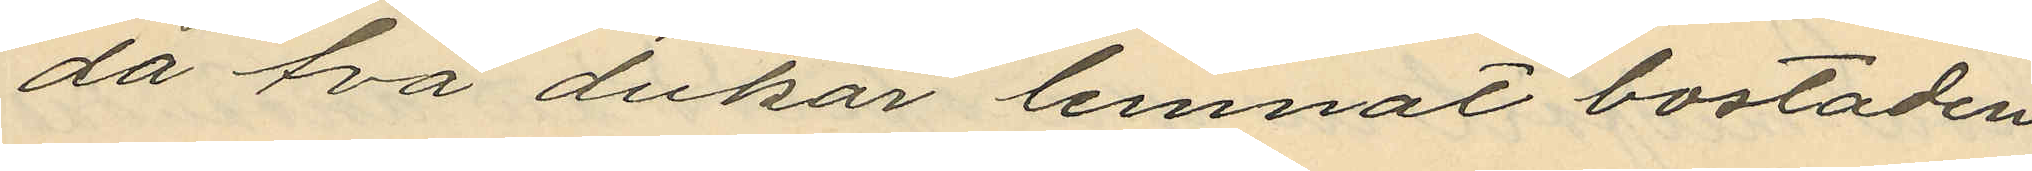da två dukar lemnat bostaden
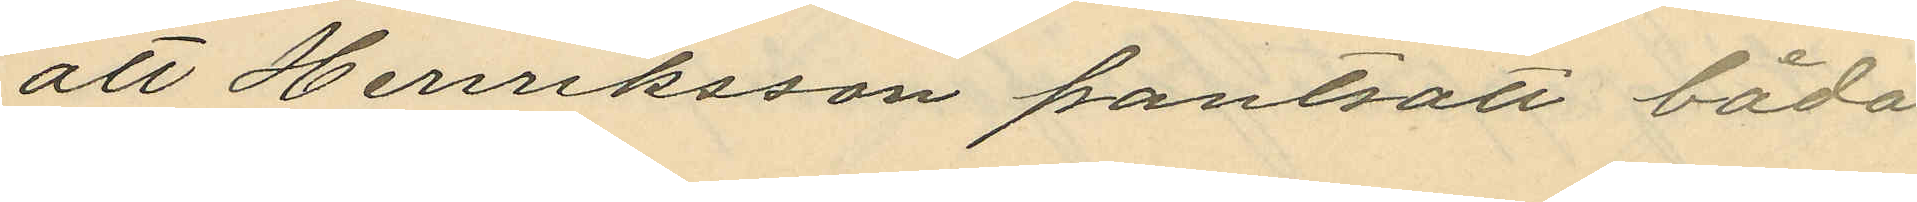att Henriksson pantsatt båda
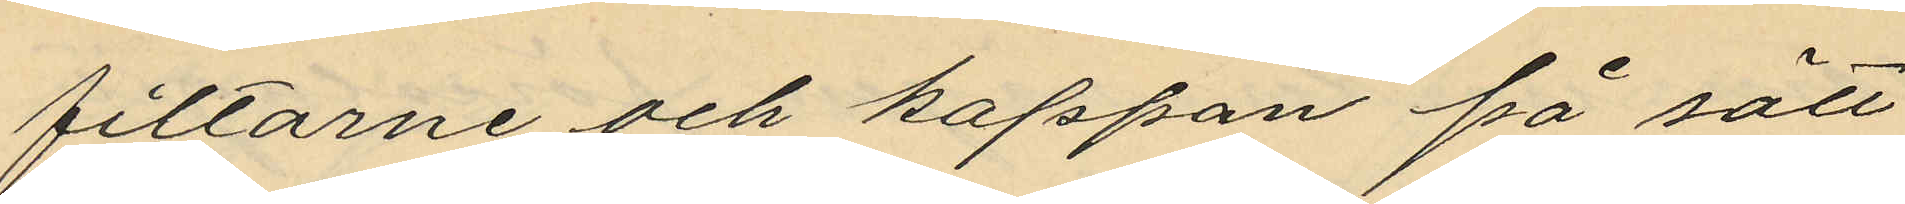filtarne och kappan på sätt
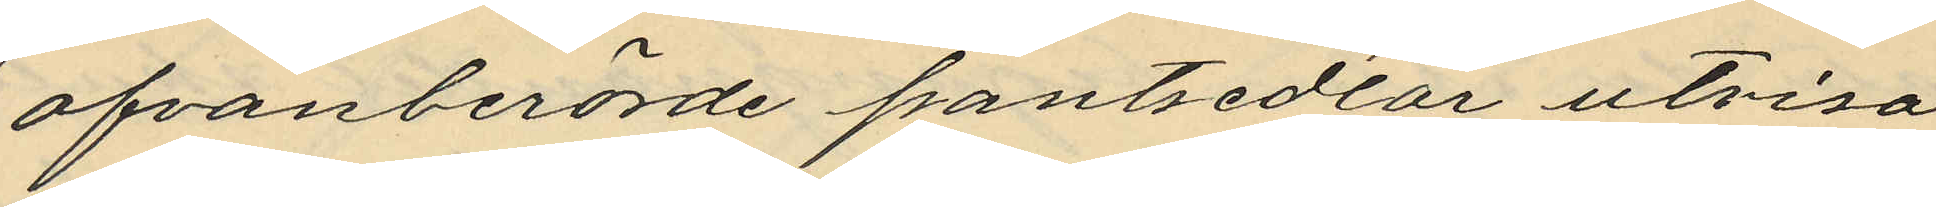ofvanberörde pantsedlar utvisa
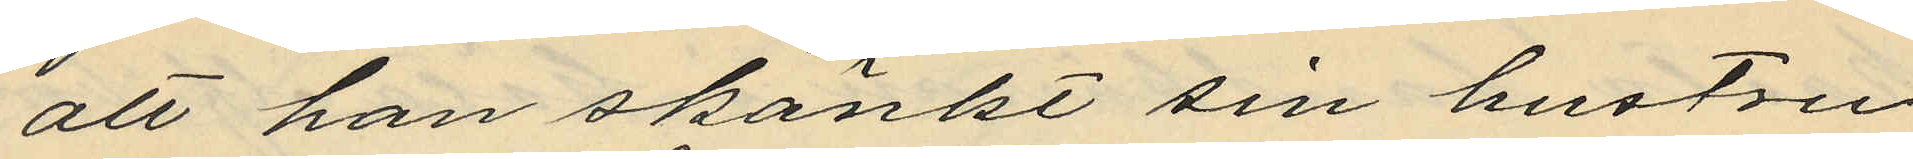att han skänkt sin hustru
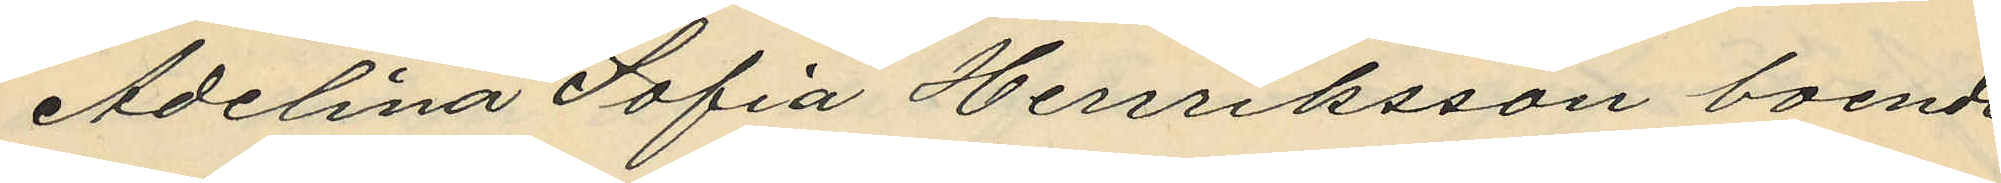Adelina Sofia Henriksson boende
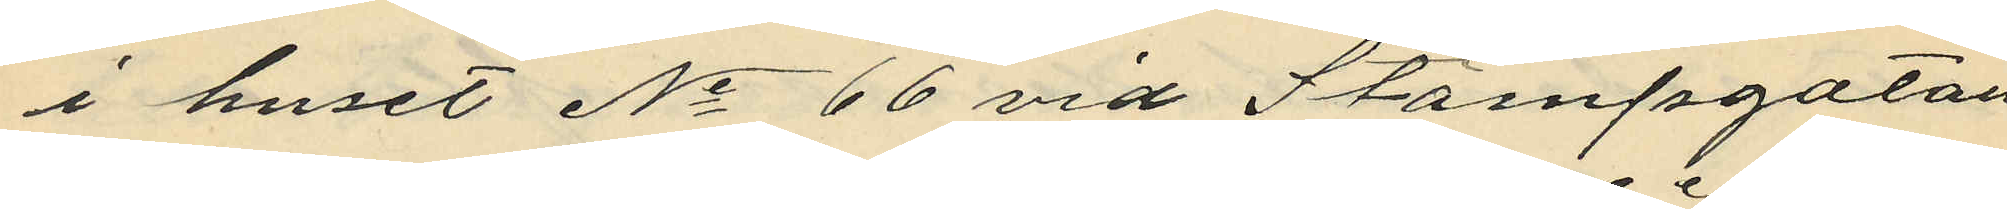i huset No 66 vid Stampgatan
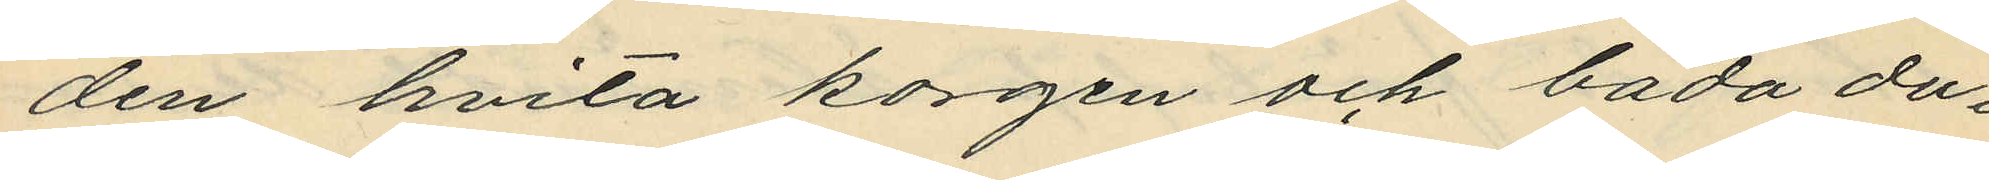den hvita korgen och båda du¬
